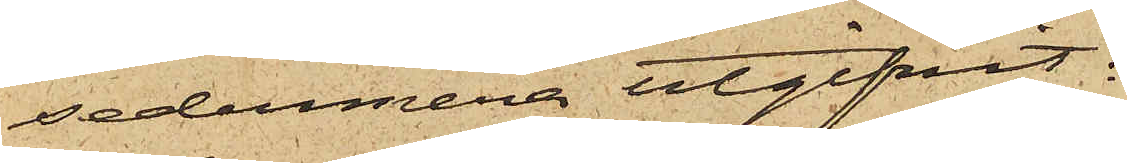sedermera utgifvit:
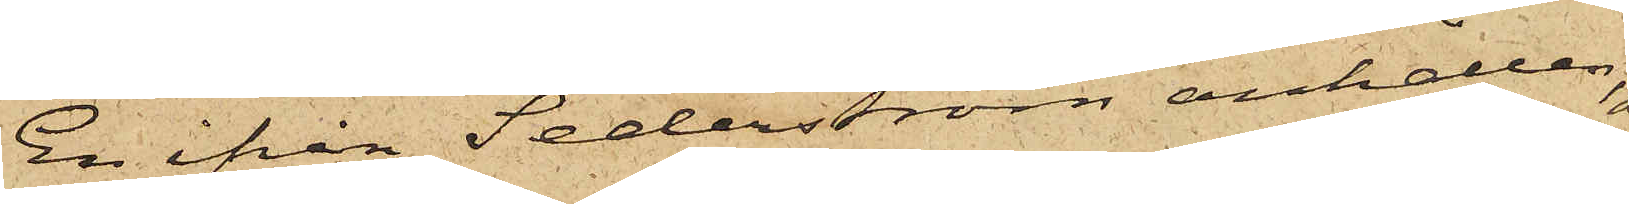En ifrån Sederström anhållen
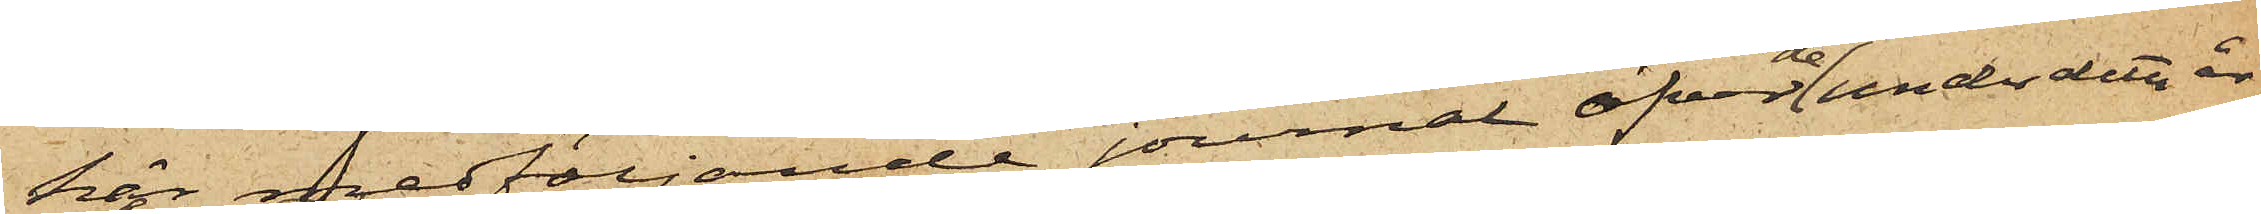här medföljande journal öfver de under detta år
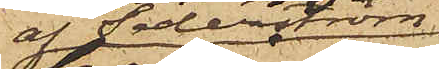af Sederström
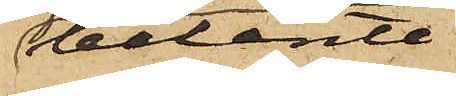belånte
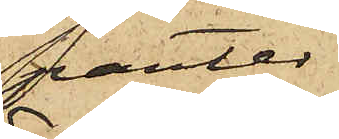panter
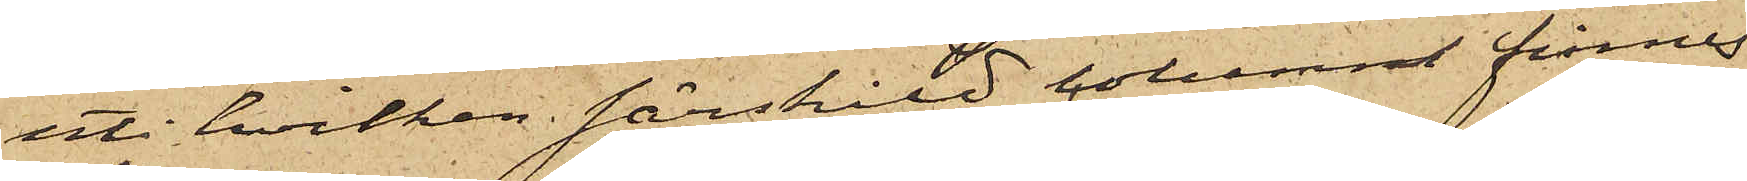uti hvilken särskild column finnes
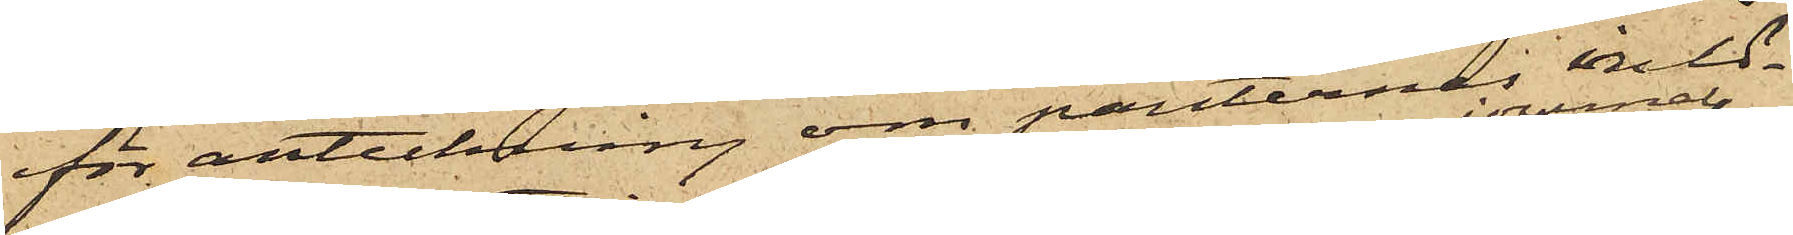för anteckning om panternes inlö¬
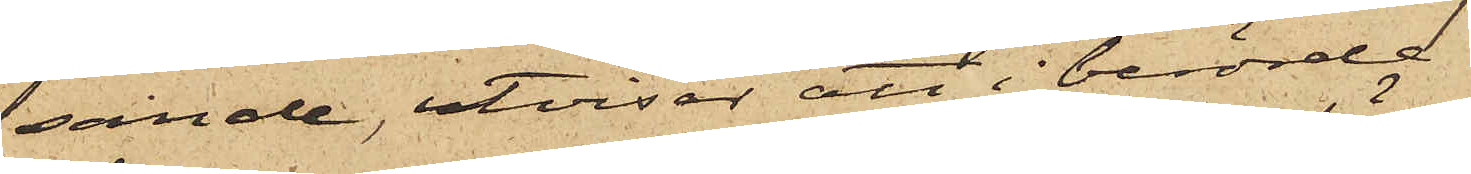sande, utvisar att i berörde
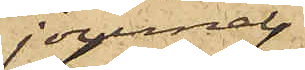journal,
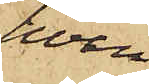hvari
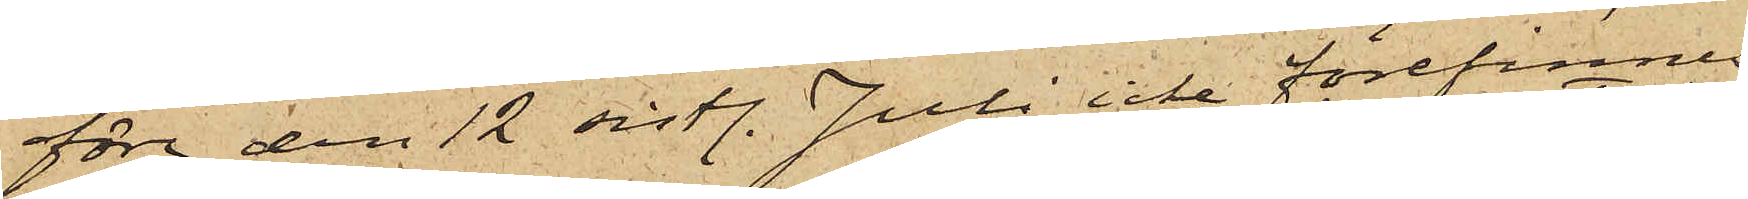före den 12 sistl. Juli icke förefinnes
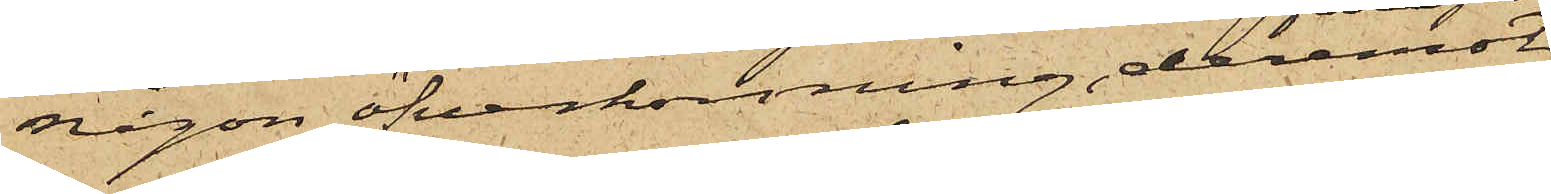någon öfverkorsning, deremot
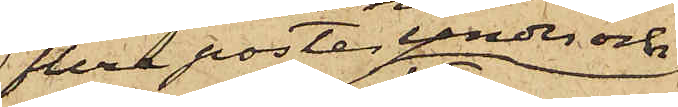flera poster under och
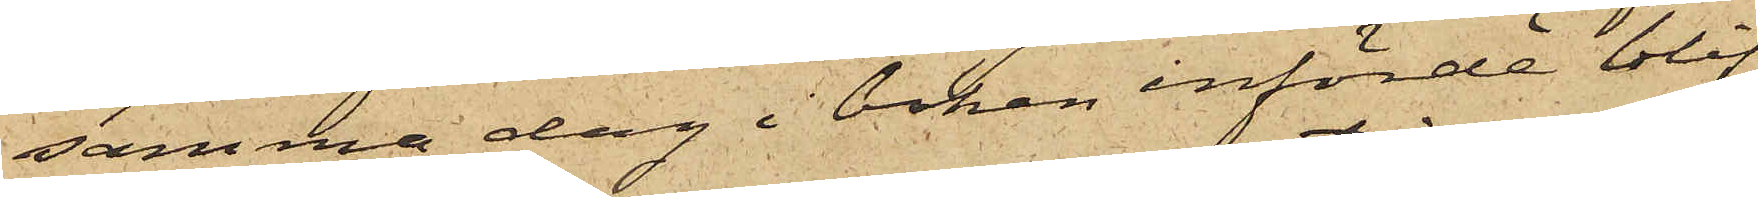samma dag i boken införde blif¬
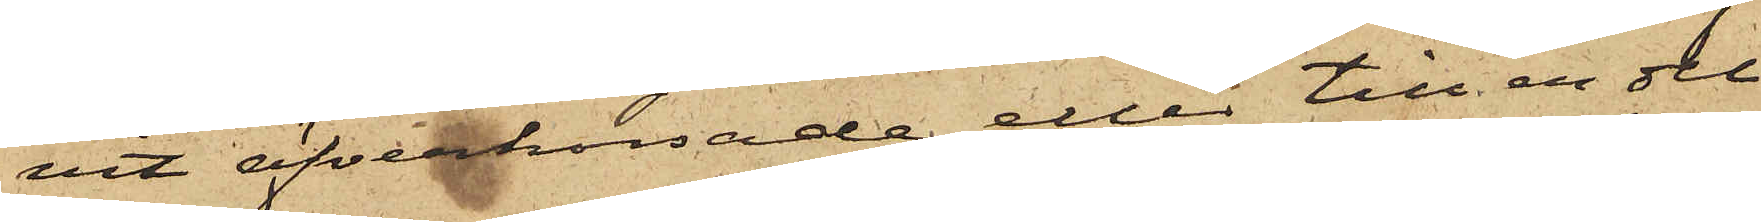vit öfverkorsade eller till en del
